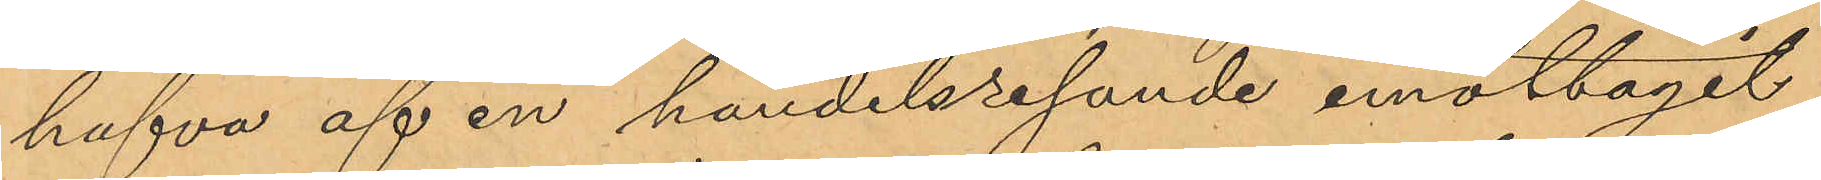hafva af en handelsresande emottagit
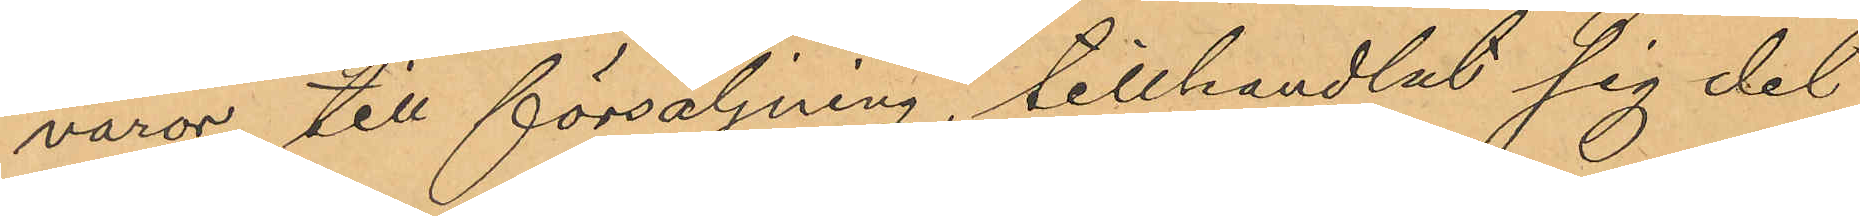varor till försäljning, tillhandlat sig det
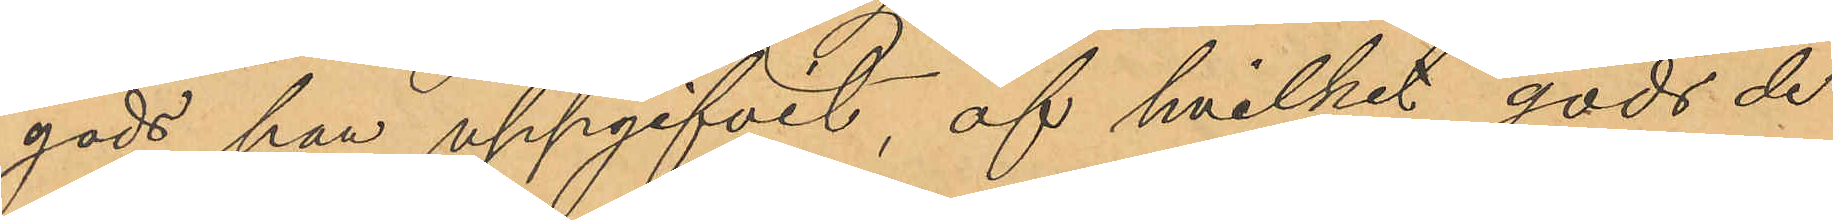gods han uppgifvit, af hvilket gods de
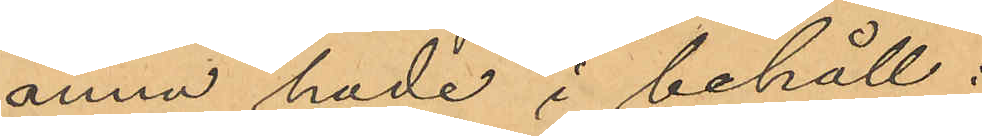ännu hade i behåll;
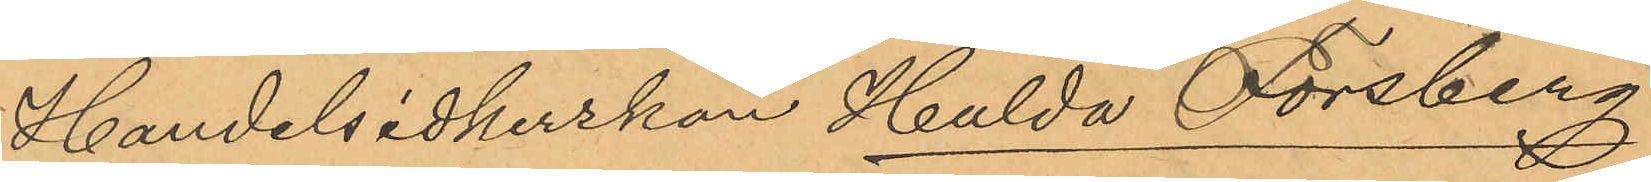Handelsidkerskan Hulda Forsberg
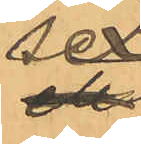sex
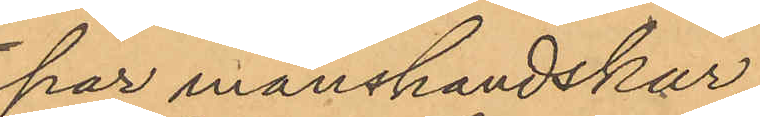par manshandskar,
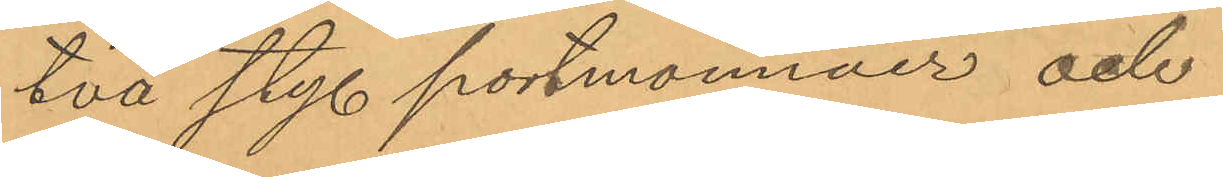två sty. portmonnäer och
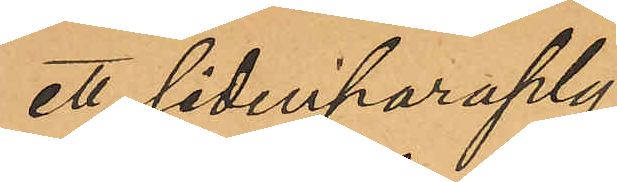ett sidenparaply;
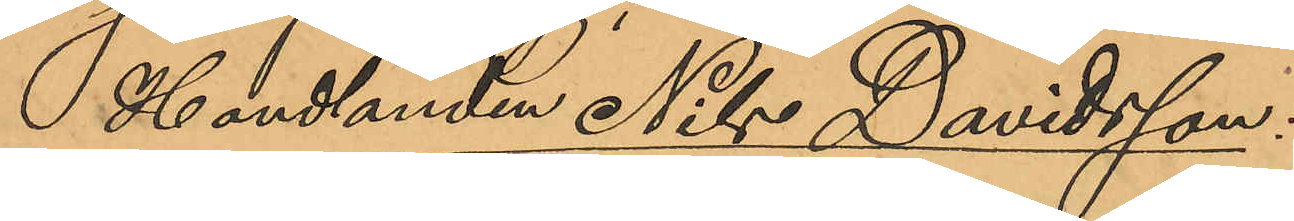Handlanden Nils Davidsson:
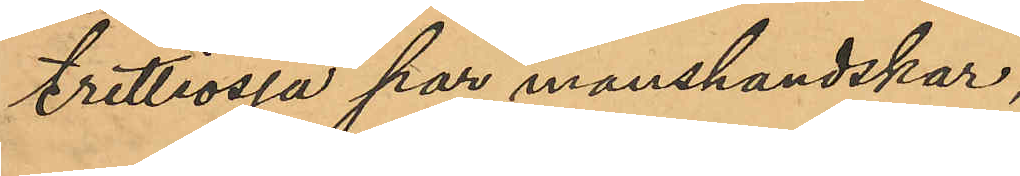trettiosju par manshandskar,
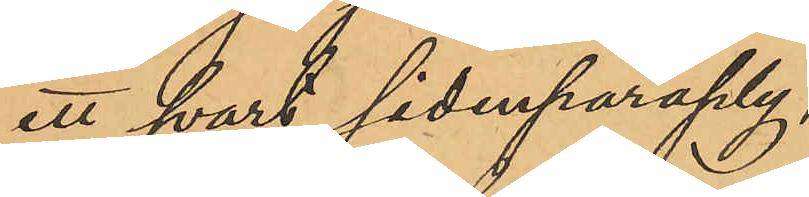ett svart sidenparaply,
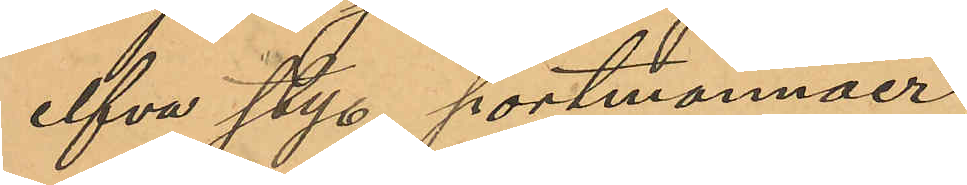elfva sty. portmonnäer,
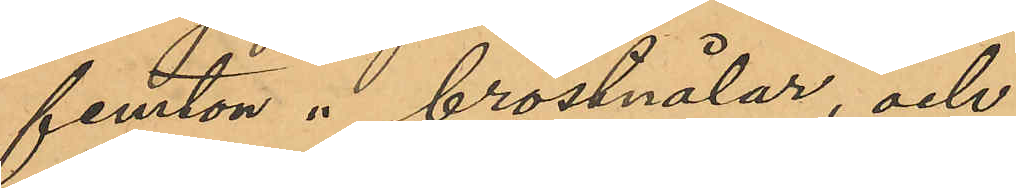femton " bröstnålar, och
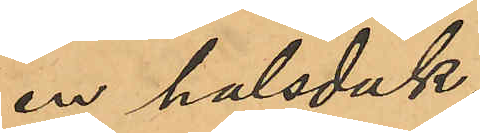en halsduk.
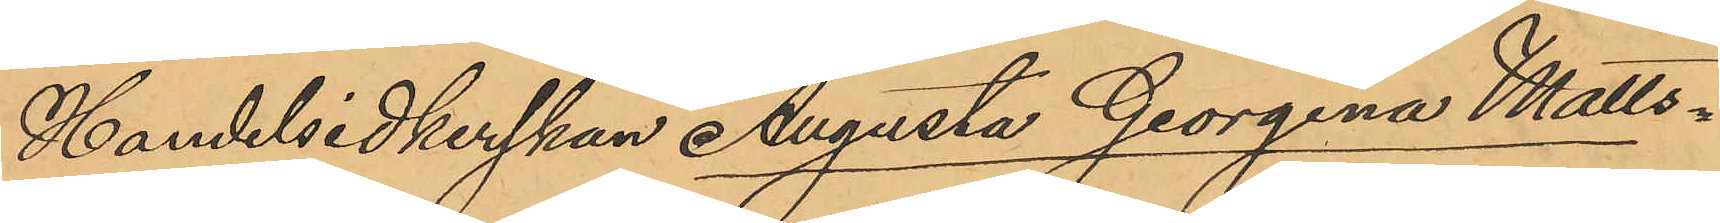Handelsidkerskan Augusta Georgina Matts¬
